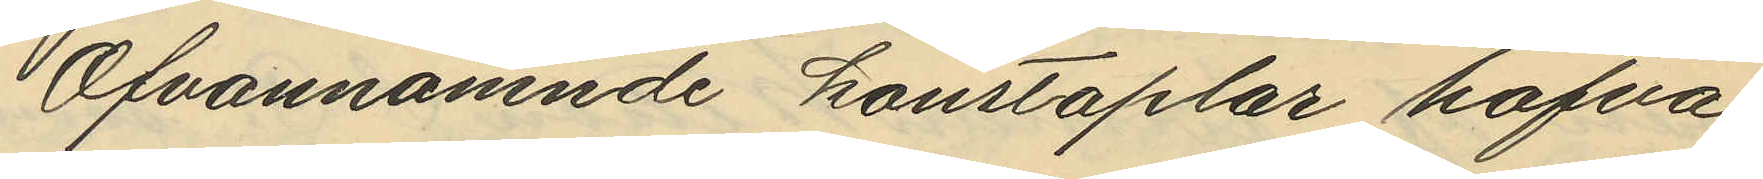Ofvannämnde konstaplar hafva
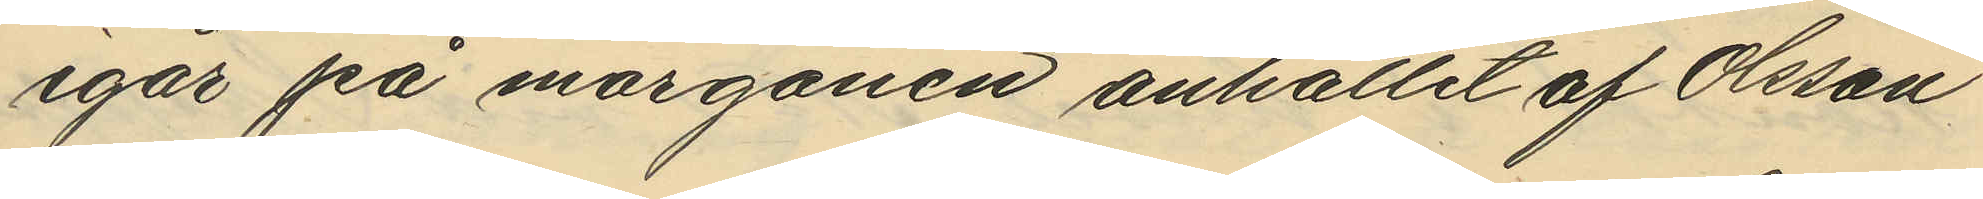igår på morgonen anhållit af Olsson
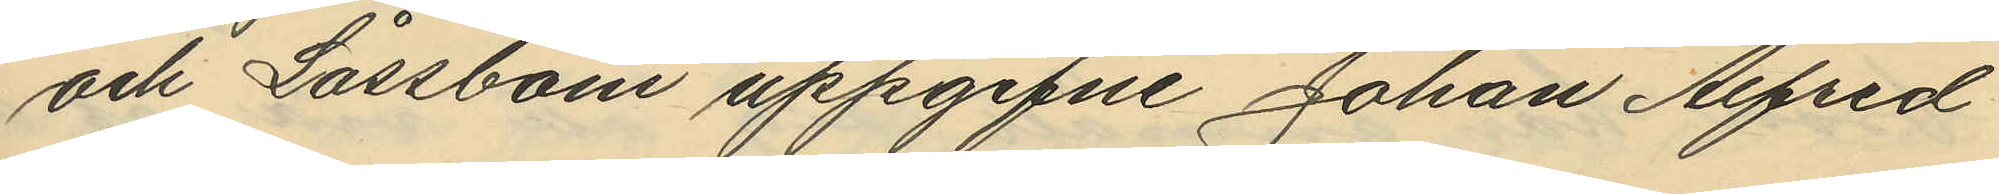och Låssbom uppgifne Johan Alfred
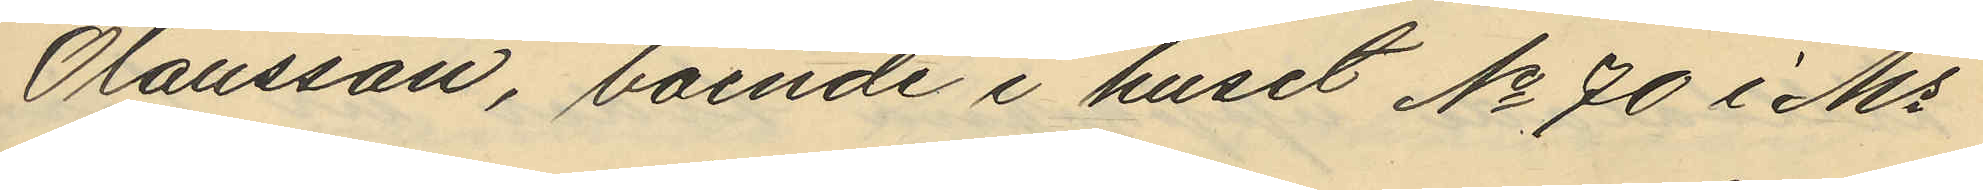Olausson, boende i huset No 70 i Ms
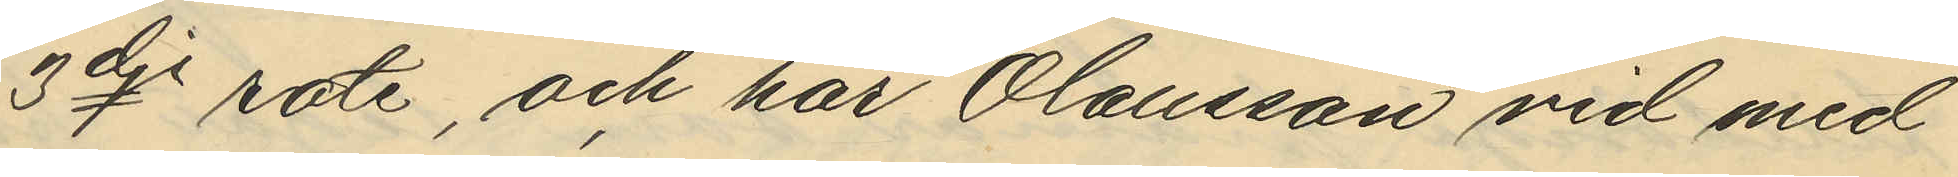3dje rote, och har Olausson vid med
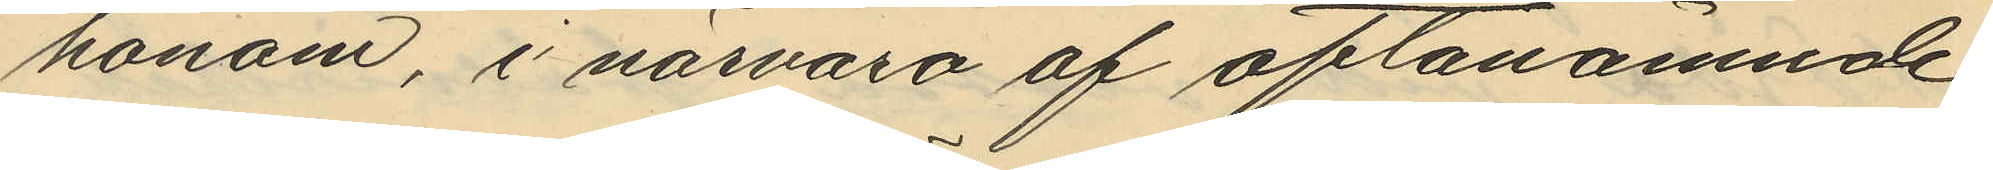honom, i närvaro af oftanämnde
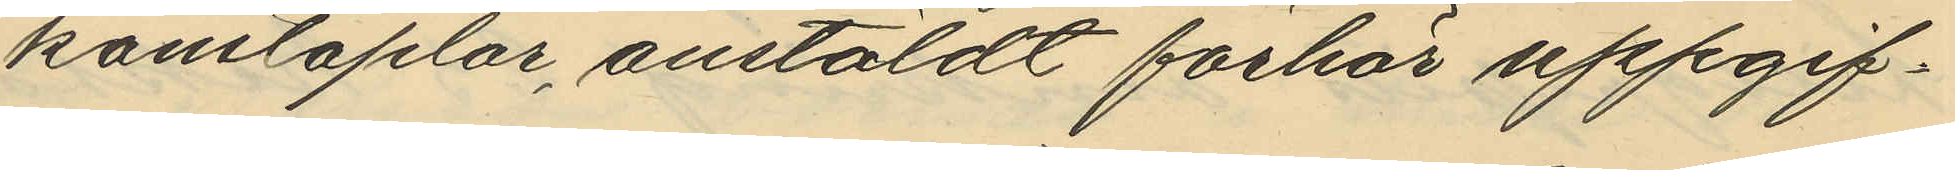konstaplar, anstäldt förhör uppgif¬
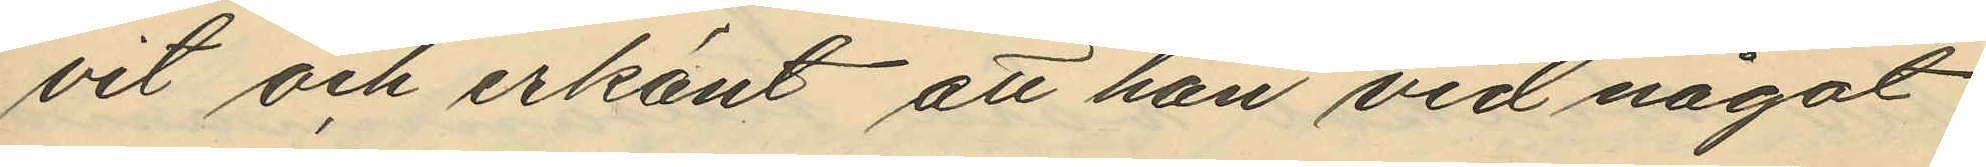vet och erkänt att han vid något
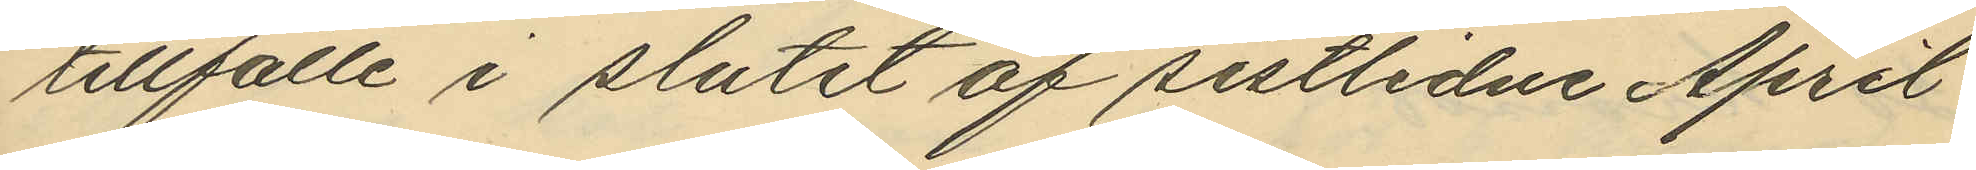tillfälle i slutet af sistlidne April
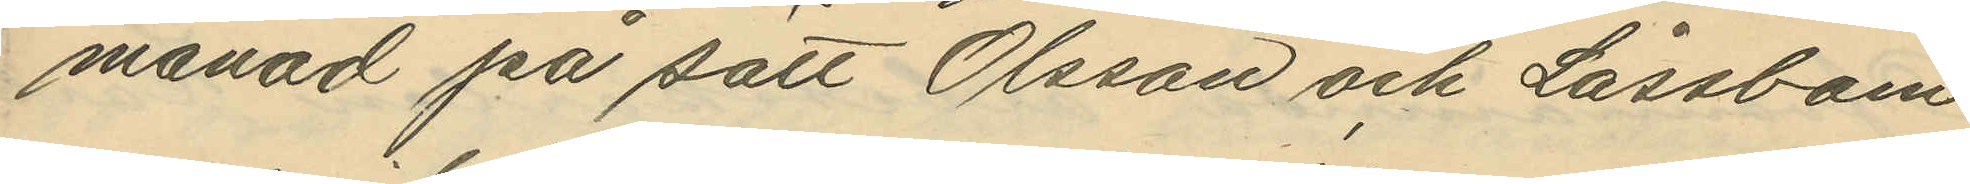månad på sätt Olsson och Låssbom
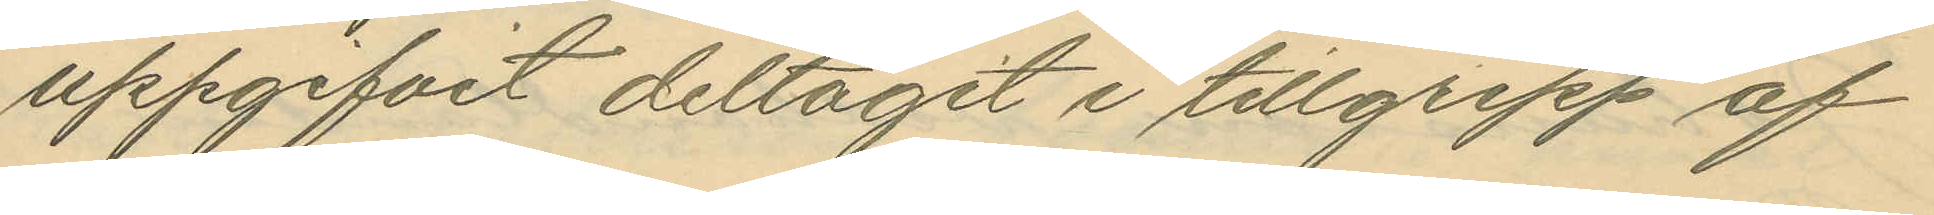uppgifvit deltagit i tillgrepp af
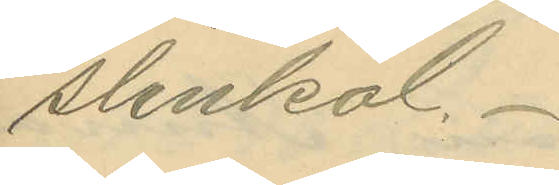stenkol.
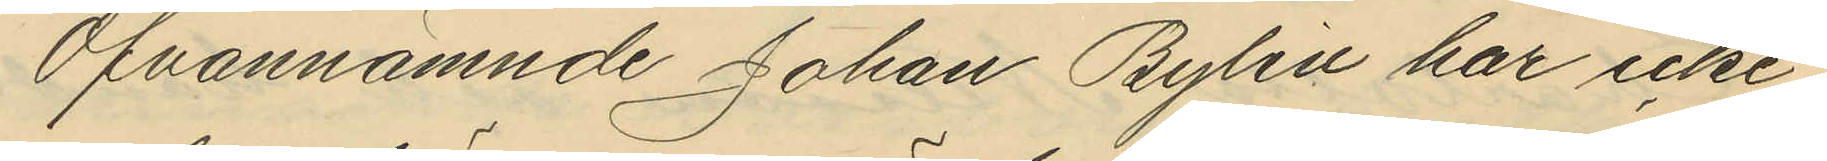Ofvannämnde Johan Bylin har icke
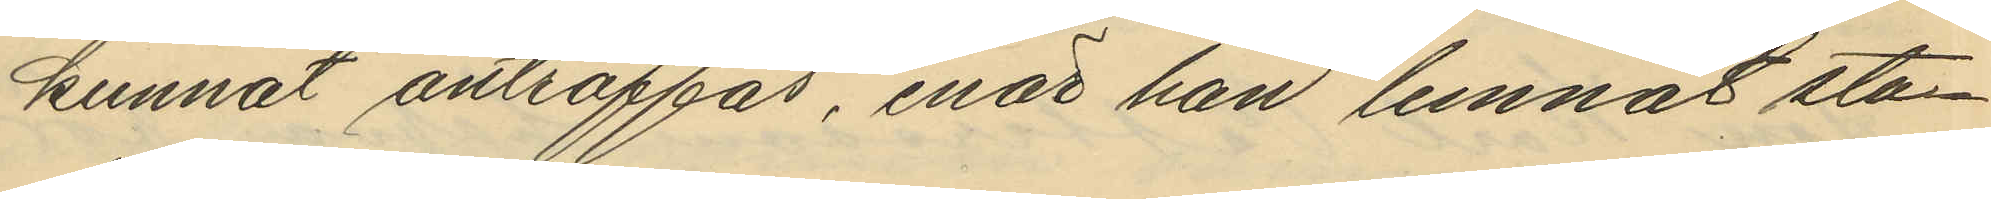kunnat anträffas, enär han lemnat sta¬
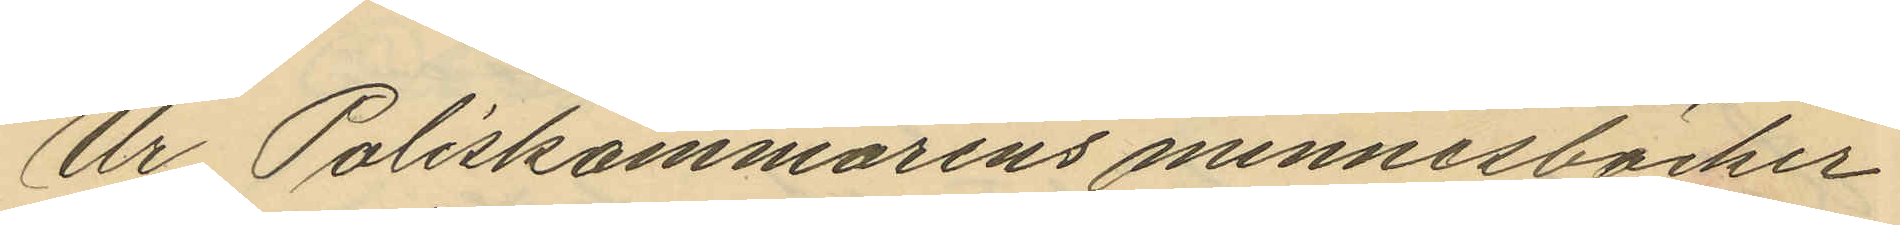Ur Poliskammarens minnesböcker
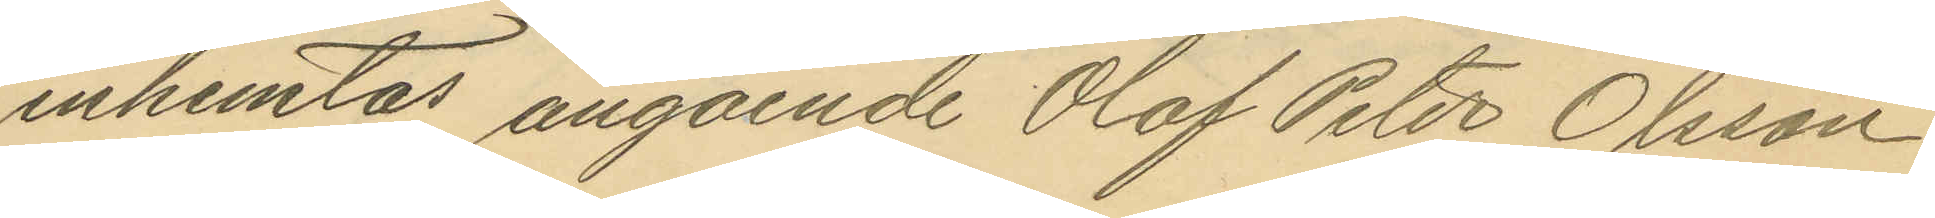inhemtas angående Olof Peter Olsson
